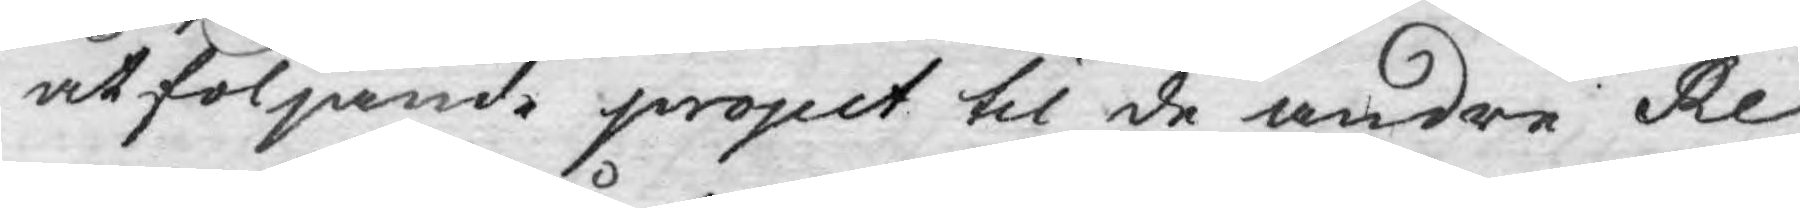åtföljande project til de andre Re¬
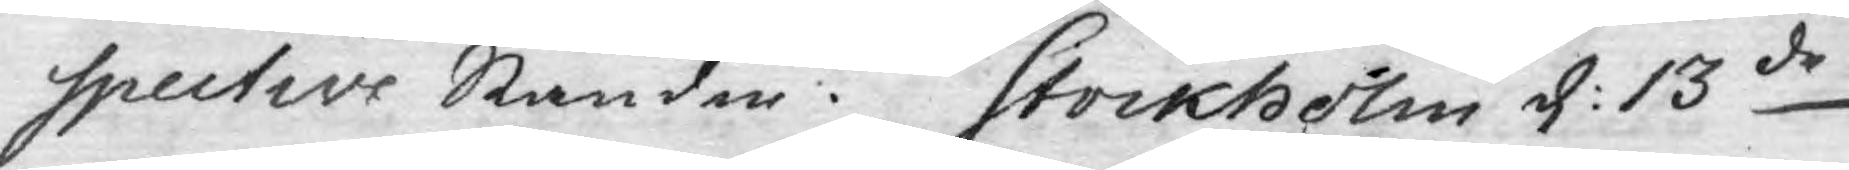spective Stånder. Stockholm d: 13de
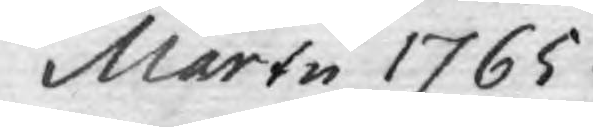Martii 1765.
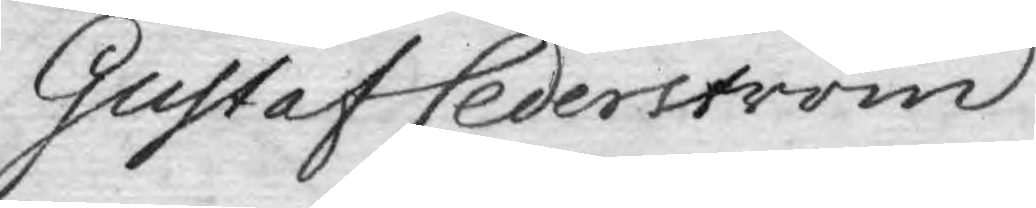Gustaf Cederström
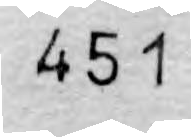451
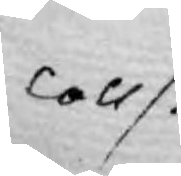Colls.
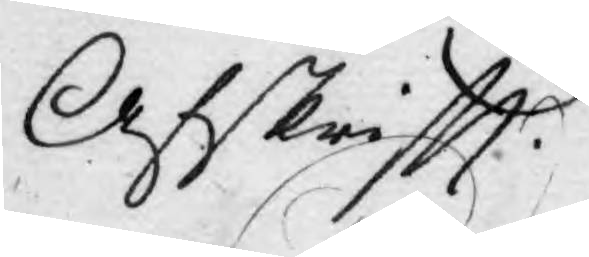Afskrifft.
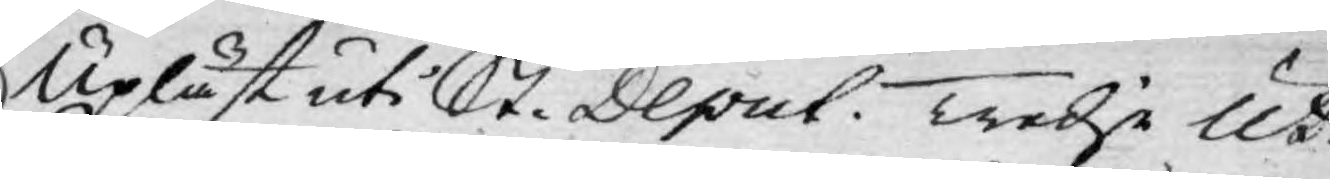Upläst uti St. Deput. Tredje Ut¬
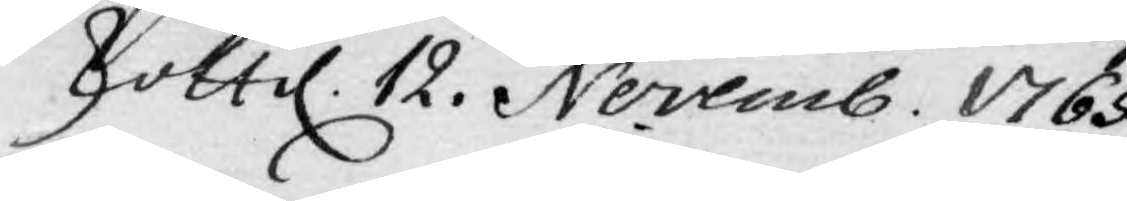skott d. 12. Novemb. 1765.
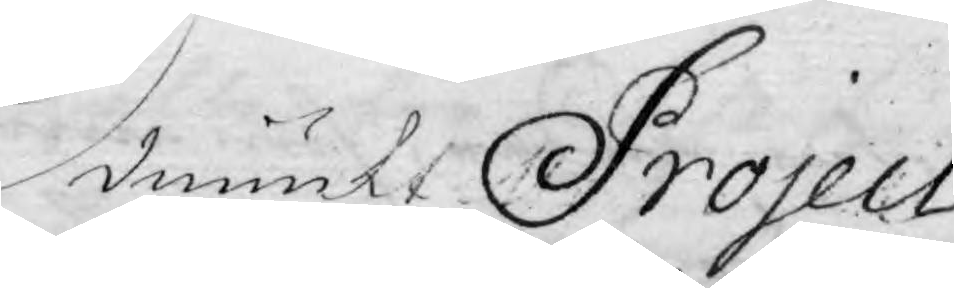Ödmiukt Project
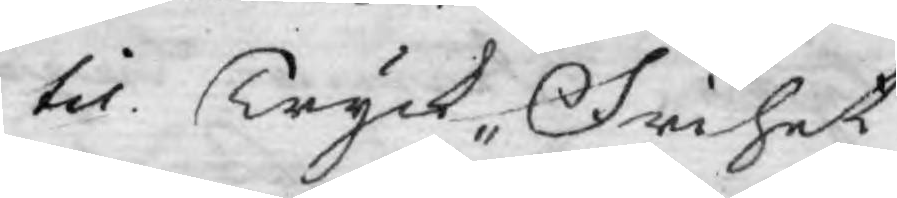til Tryck- Frihet
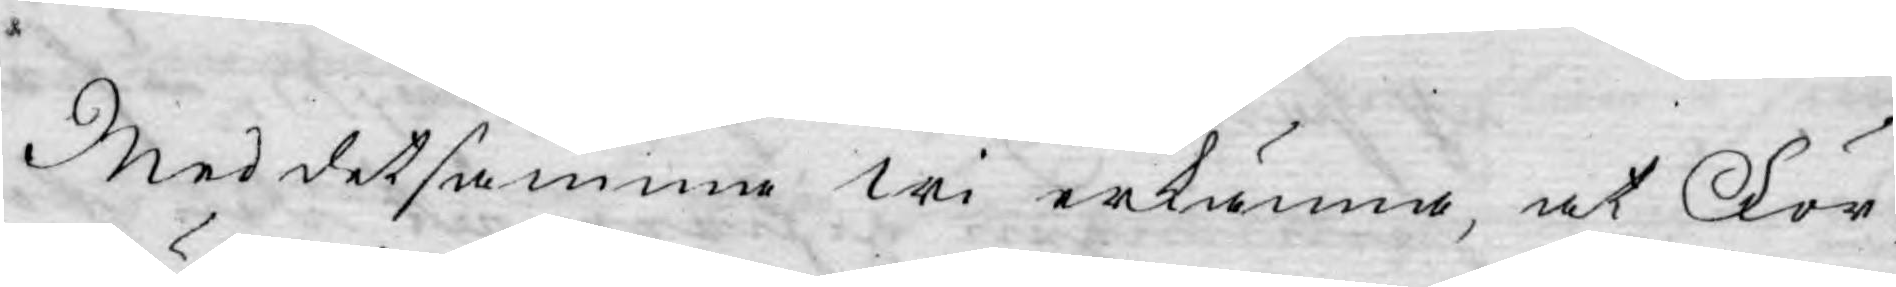Med detsamma wi erkänna, at För¬
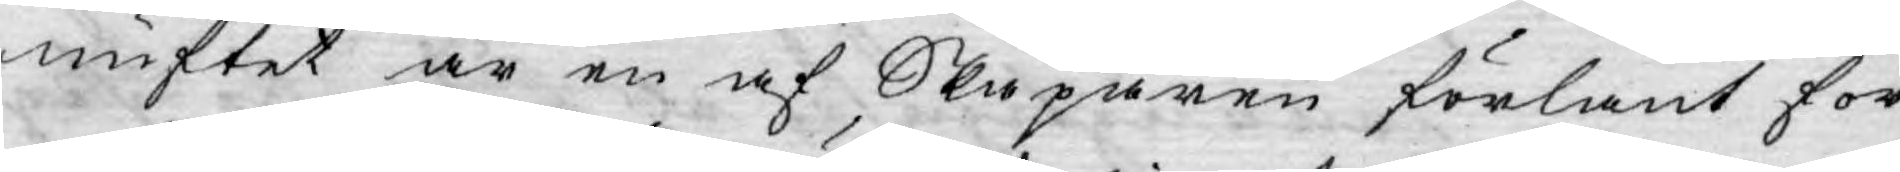nuftet är en af Skaparen förlänt för¬
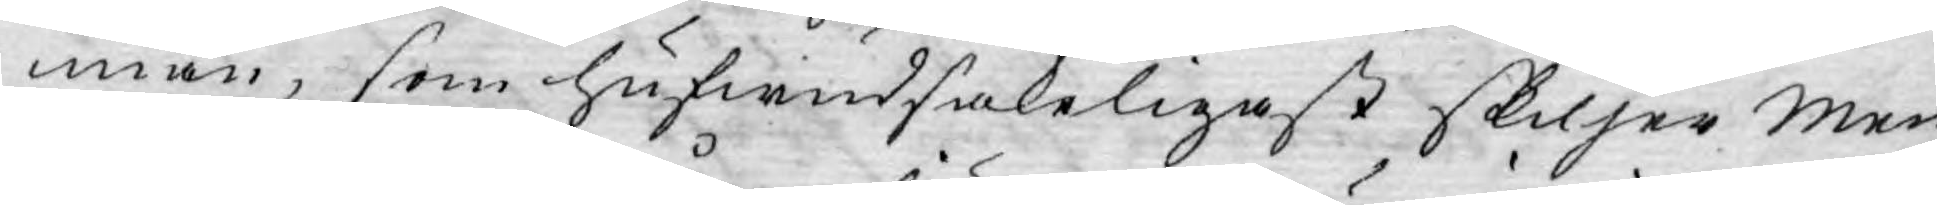mån, som hufwudsakeligast skiljer men¬
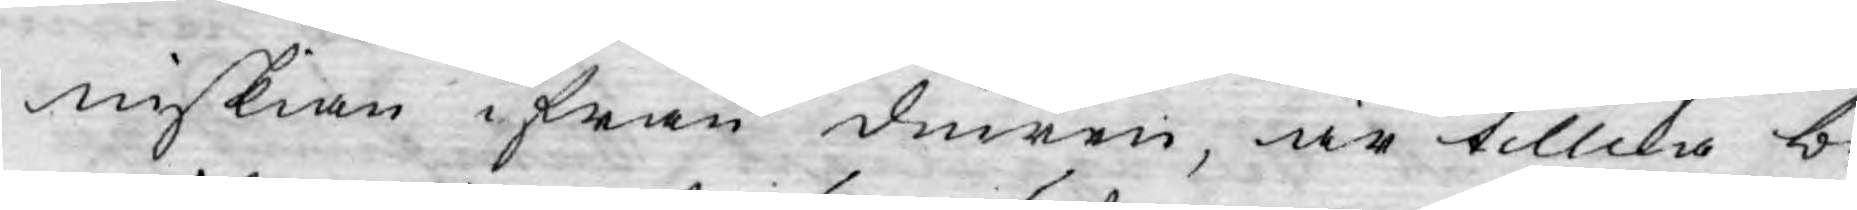niskian ifrån diuren, är tillika be¬
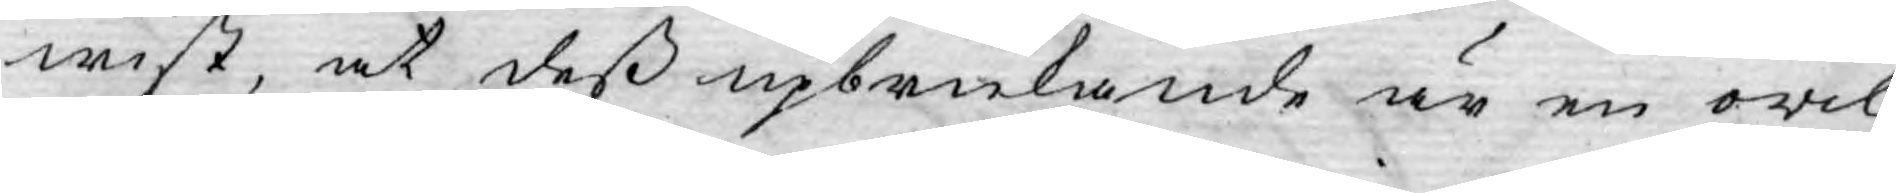wist, at deß upbrukande är en owil¬
